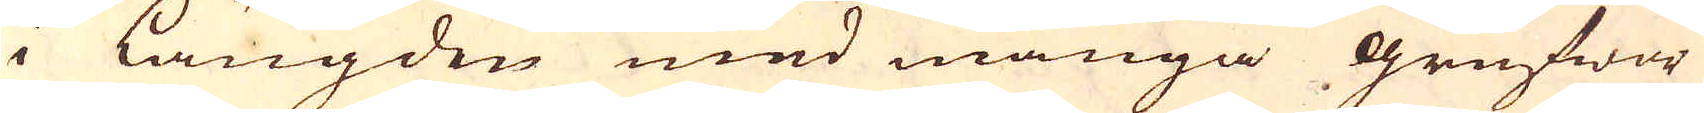i längden med många grufwor
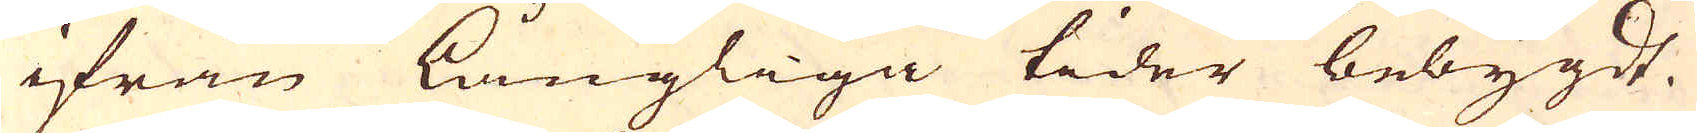ifrån långliga tider bebygdt.
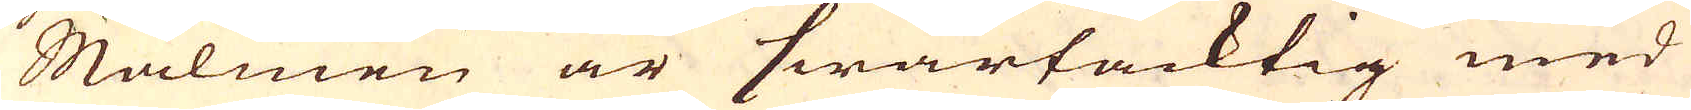Malmen är swartacktig med
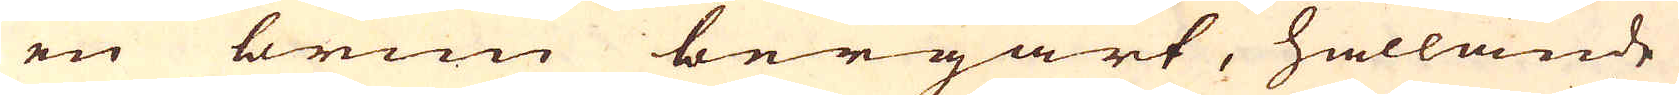en brun bergart, hållande
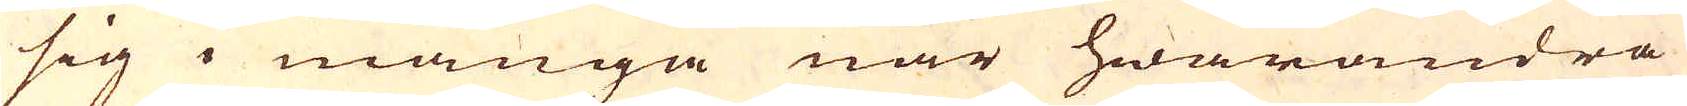sig i många när hwarandra
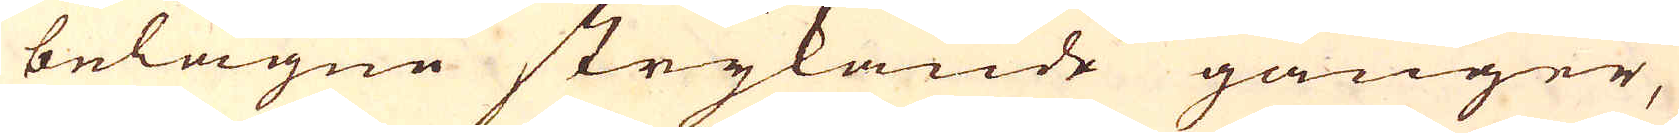belägne strykande gånger,
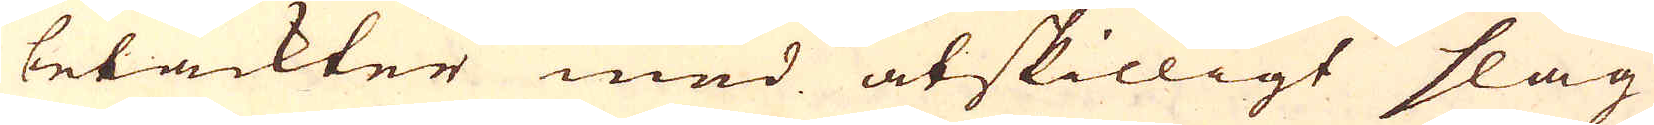betäckter med åtskilligt slag
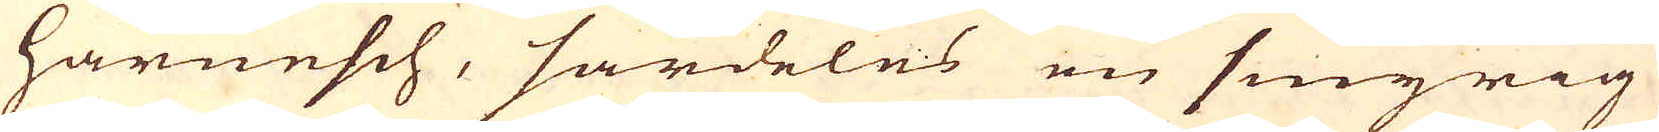harnesch, särdeles en smyrig
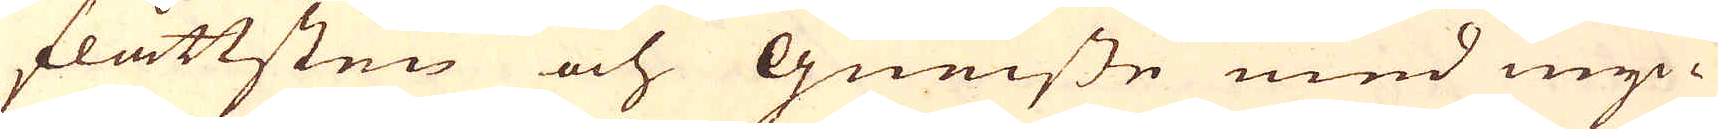flåttsten och Gneiste med myc-
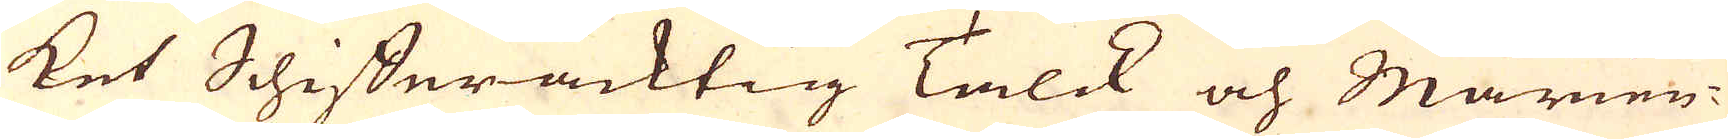ket Schifferacktig Talck och Marien-
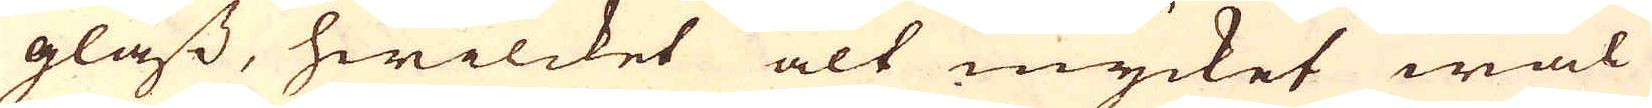glass, hwilcket alt mycket wäl
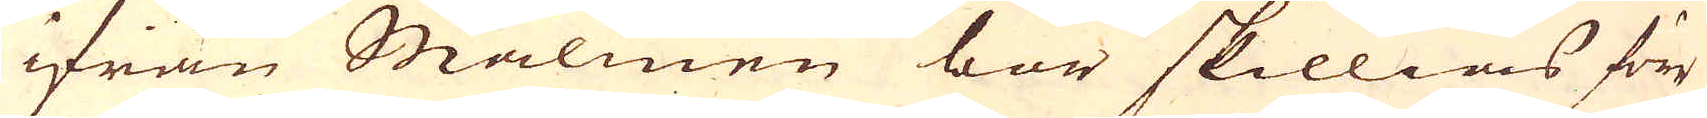ifrån Malmen bör skillias förr
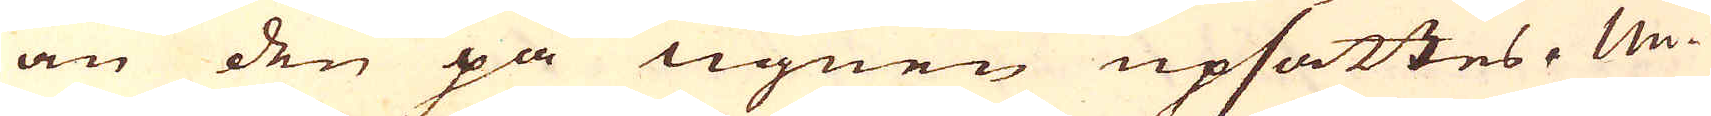än den på ugnen upsättes. Un-
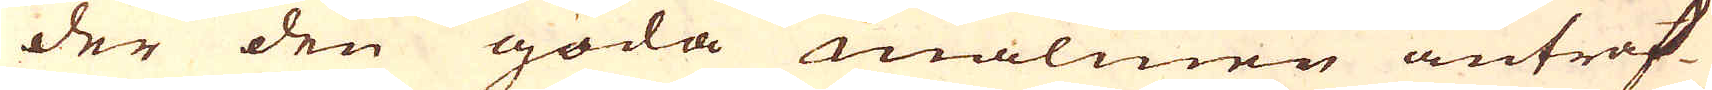der den goda malmen anträf-
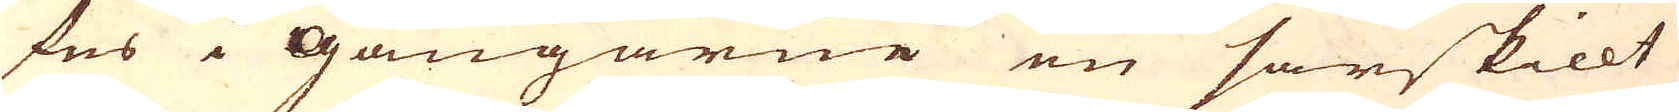fes i Gångarne en särskillt
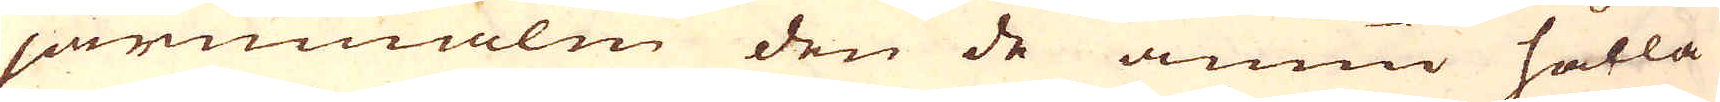järnmalm den de ännu hålla
